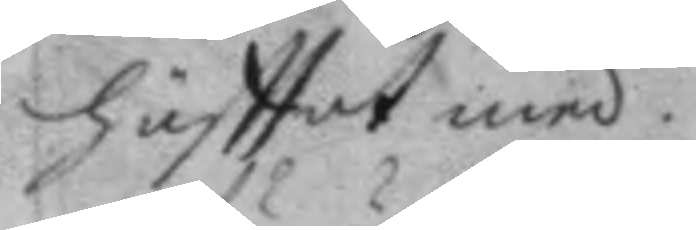häfttat med.
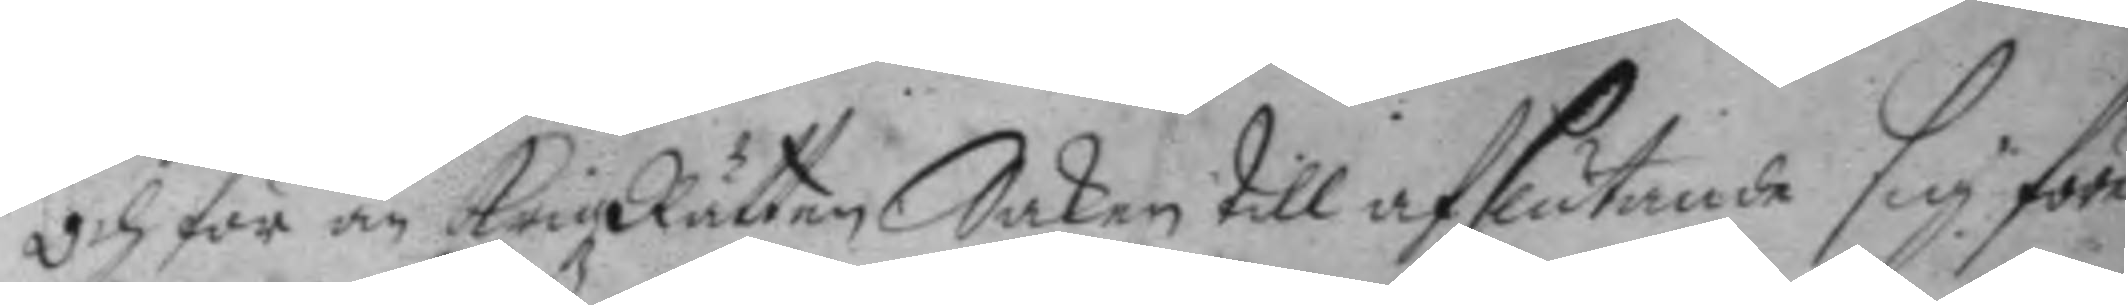och för än KrigzRätten Saken till afslutande sig före¬
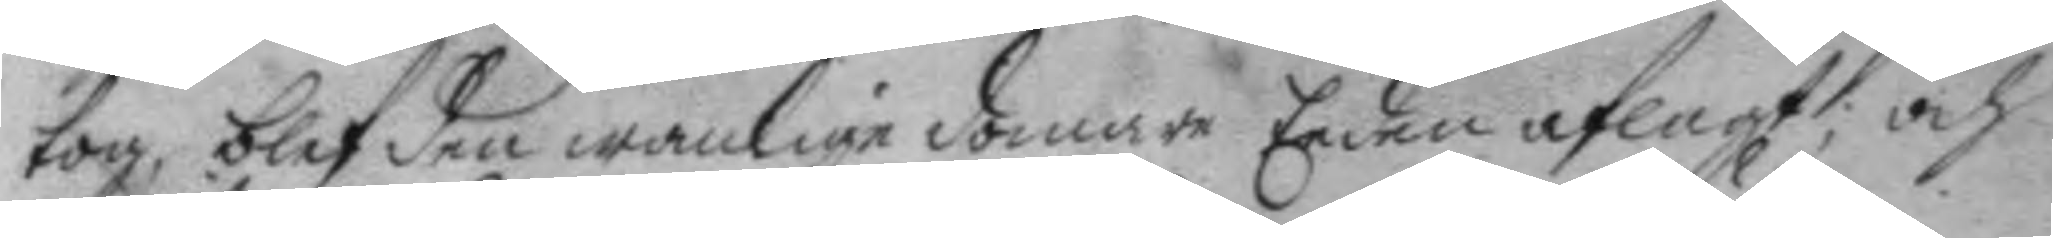tog, blef den wanlige domare Eeden aflagt; och
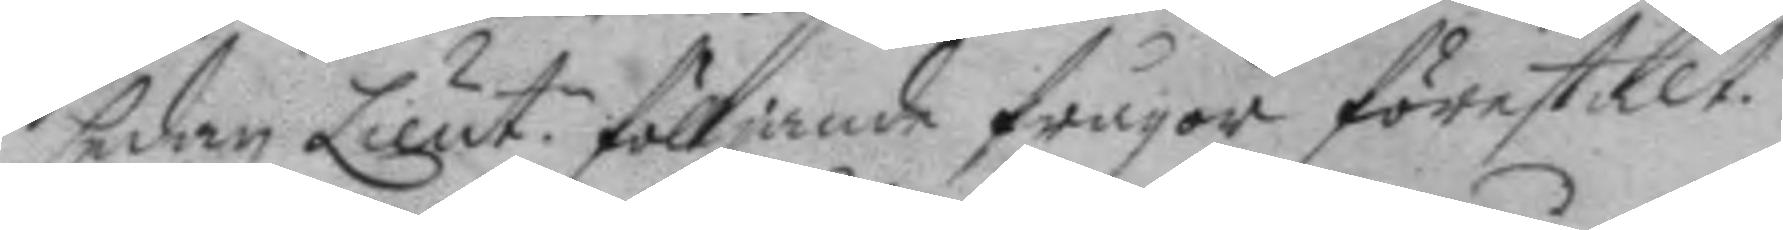sedan Lieut.n fölljande frågor förestält.
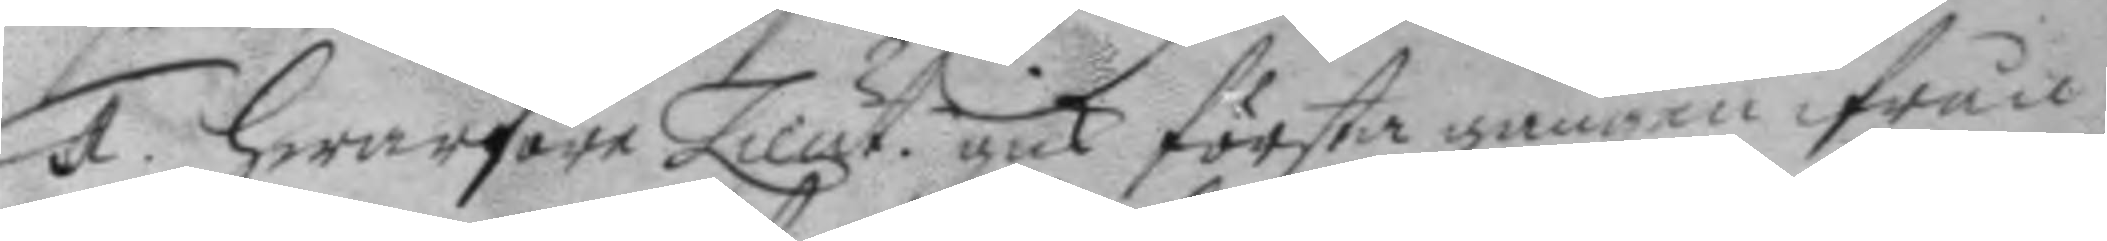1. Hwarföre Lieut. gick första gången ifrån
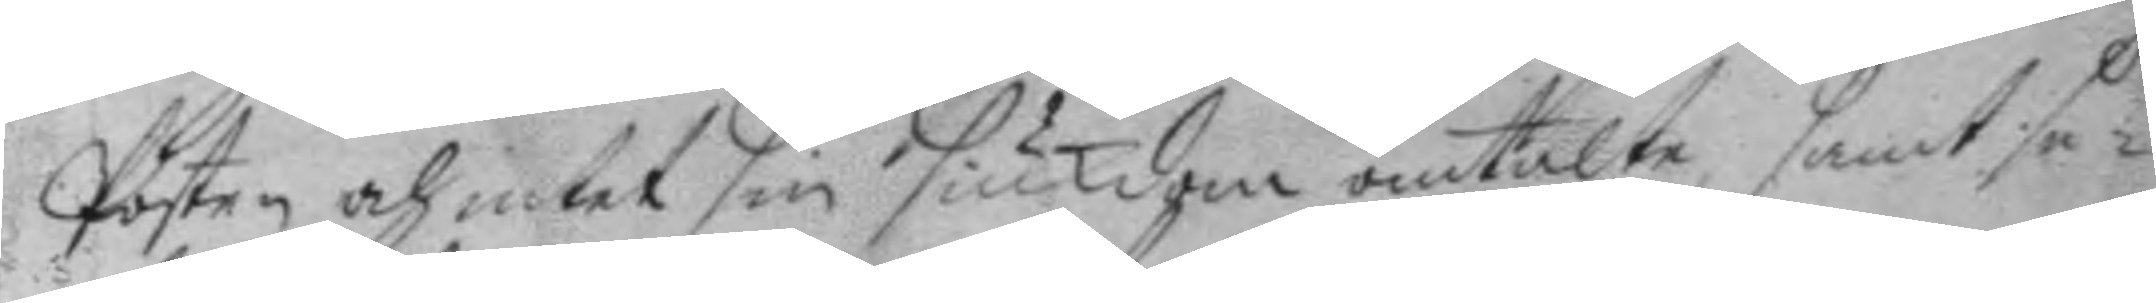Posten och intet sin siukdom omtalte, samt se¬
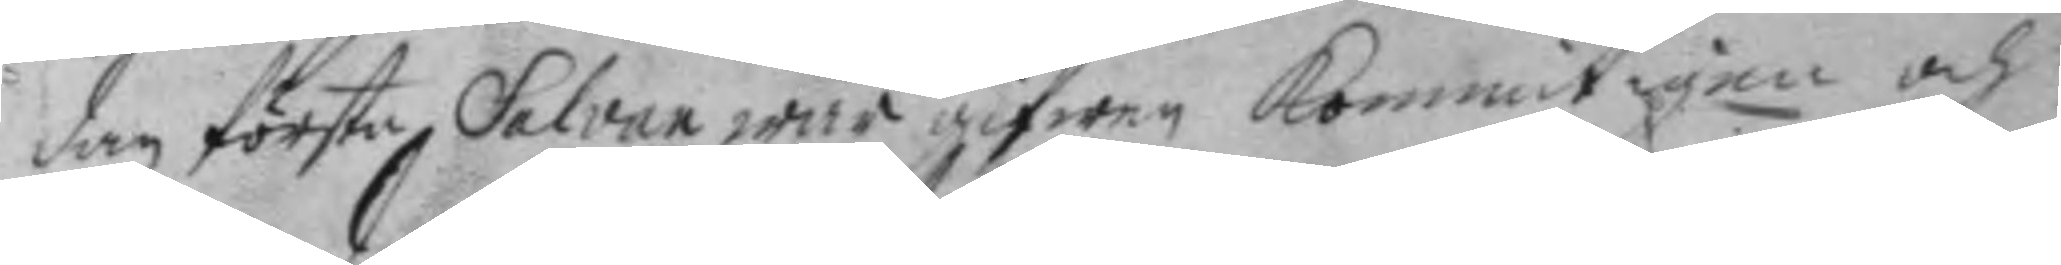dan första Salvan war gifwen kommit igen och
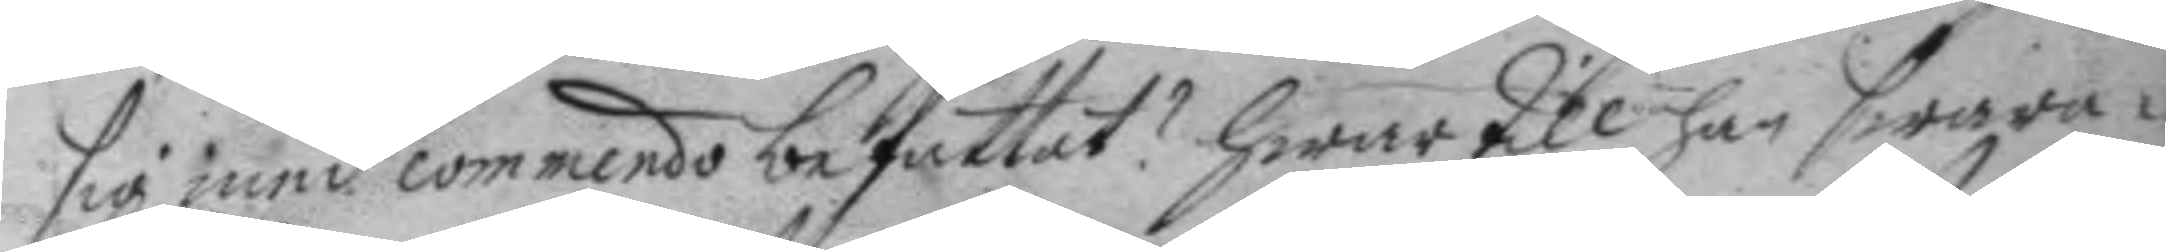sig med commando befattat? hwartill han swara¬
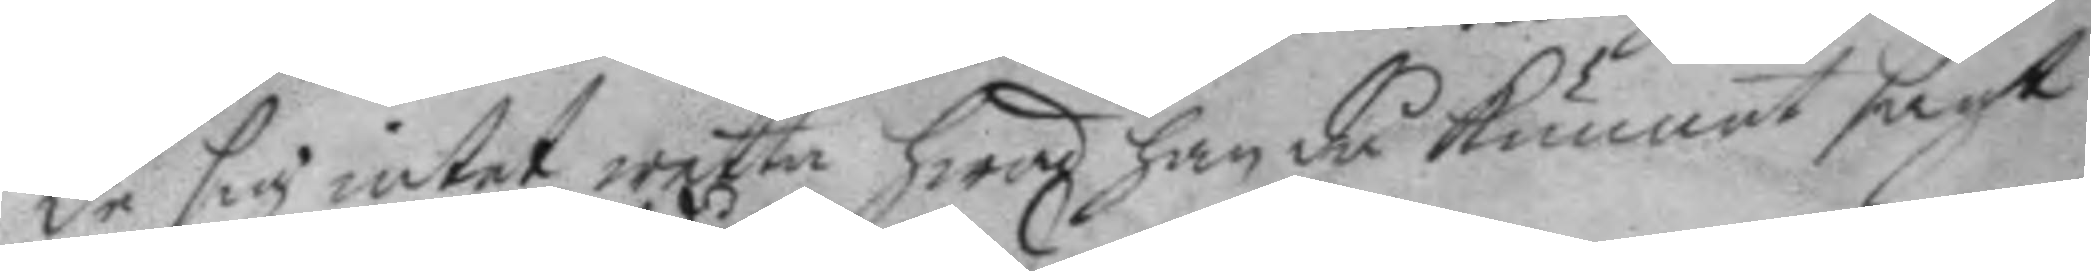de sig intet wetta hwad han då kunnat sagt
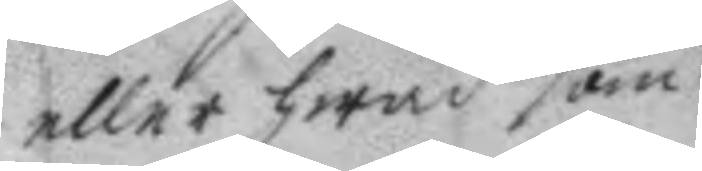eller hwad som 
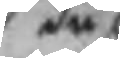då
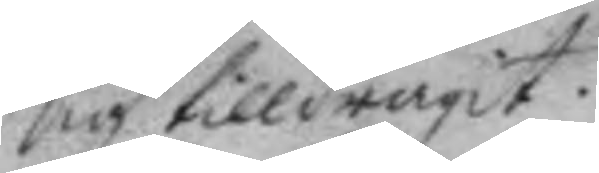sig tilldragit.
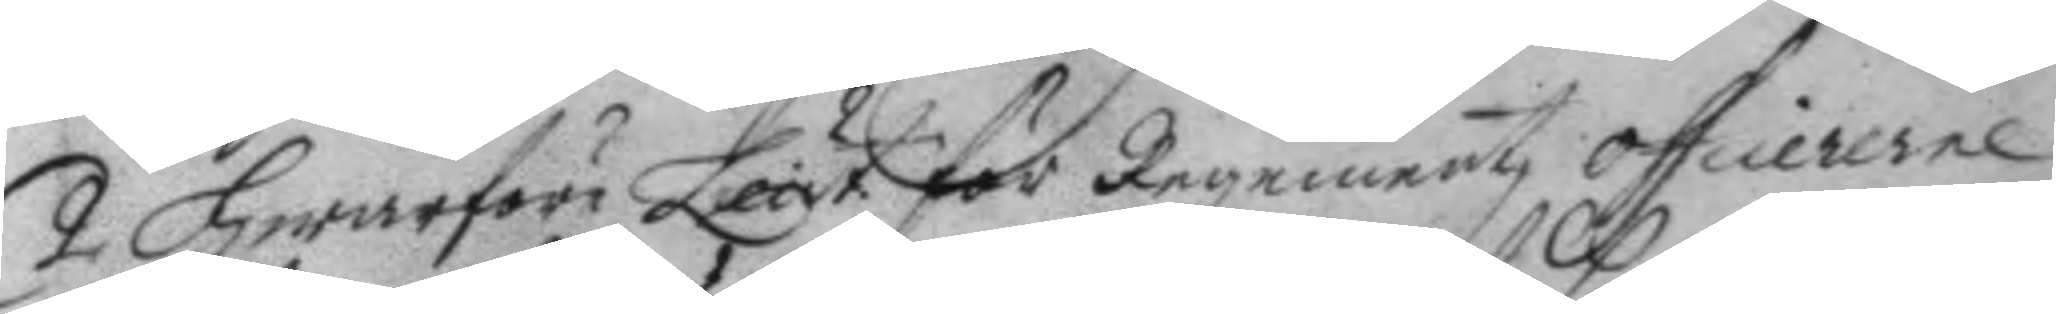2 Hwarföre Lieut. för Regementz officererne
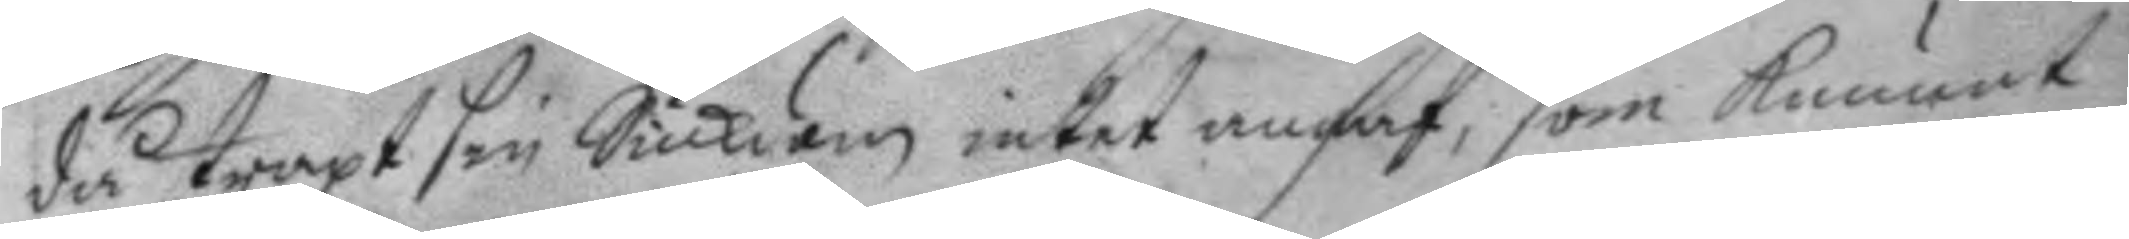då straxt sin Siukdom intet angaf, som kunnat
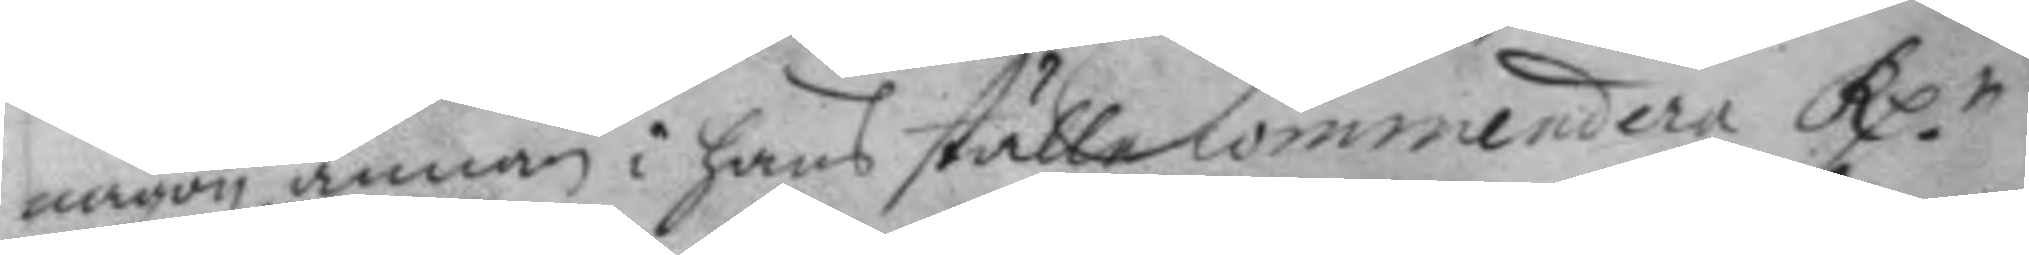någon annan i hans ställe commendera Rp.e
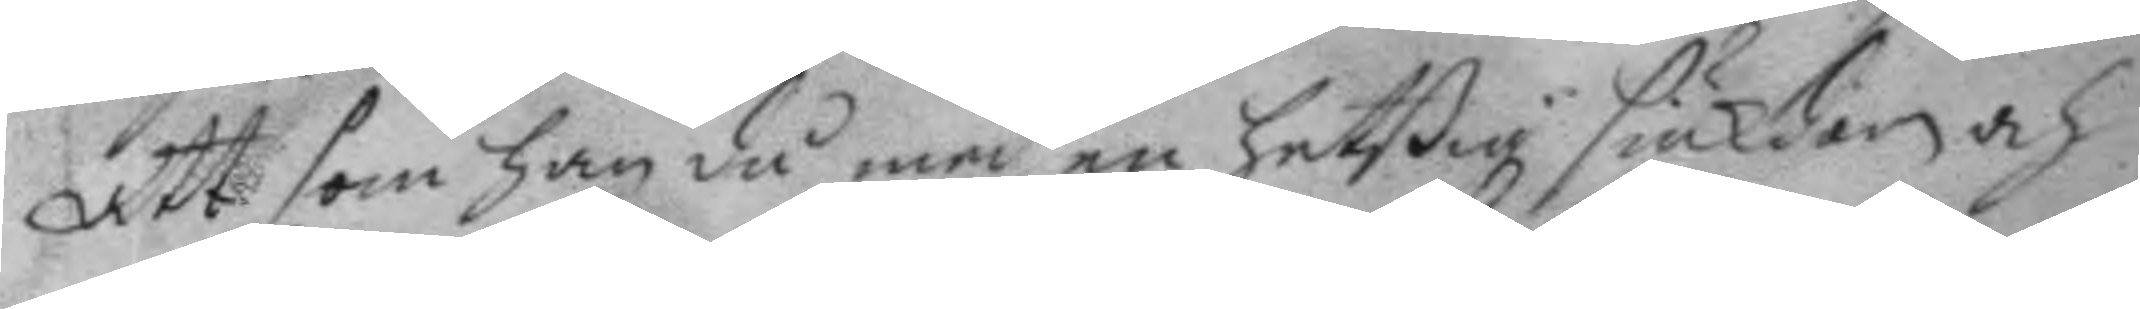Att som han då med en hetßig siukdom och
